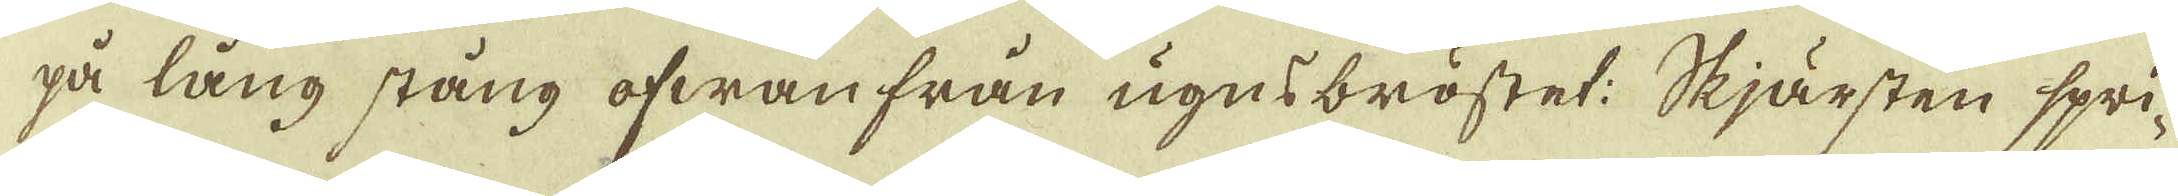på lång stång ofwanfrån ugnsbröstet: Skjärsten spri-
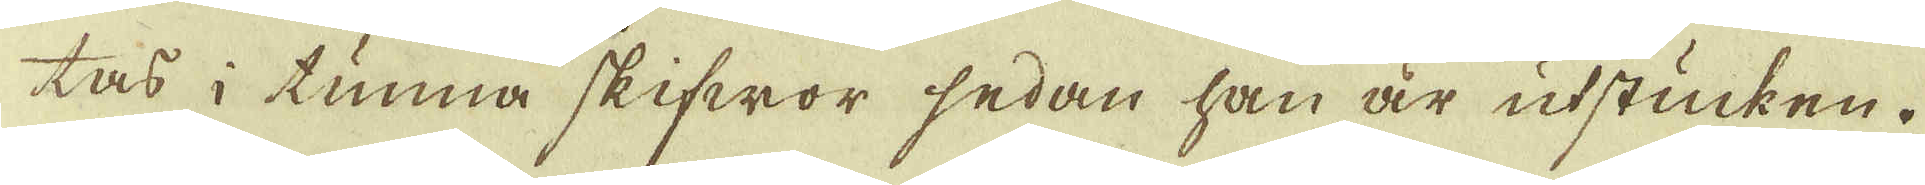tas i tunna skifwor sedan han är utstucken.
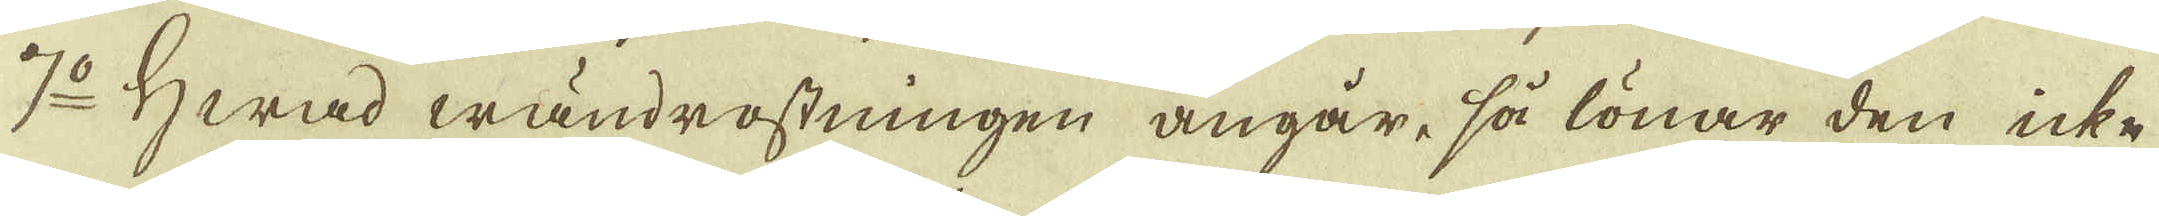7:o Hwad wändrostningen angår, så lönar den icke
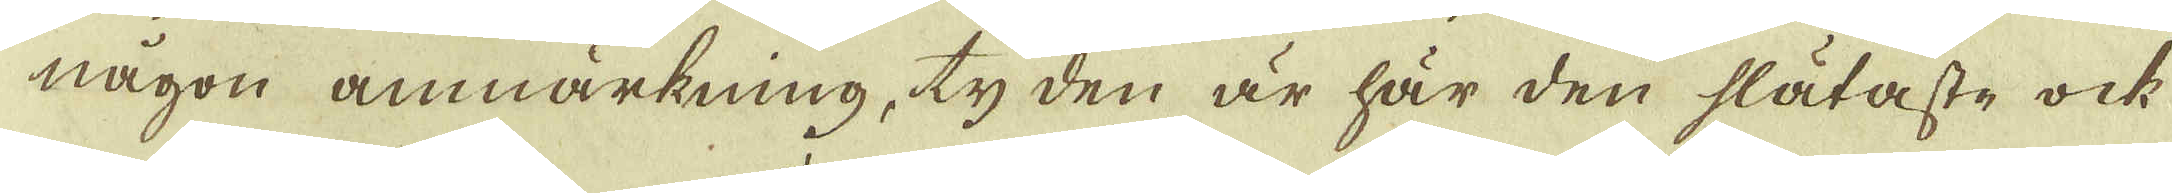någon anmärkning, ty den är här den slätaste ock
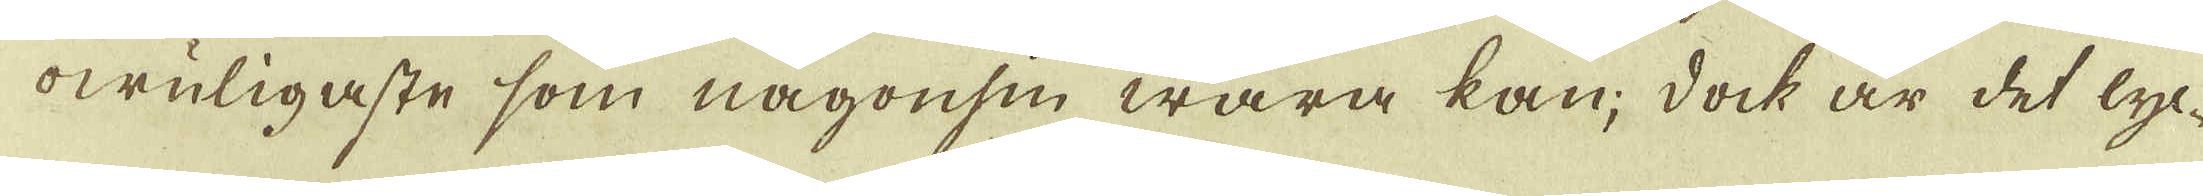owuligaste som någonsin wara kan; dock är det lyc-
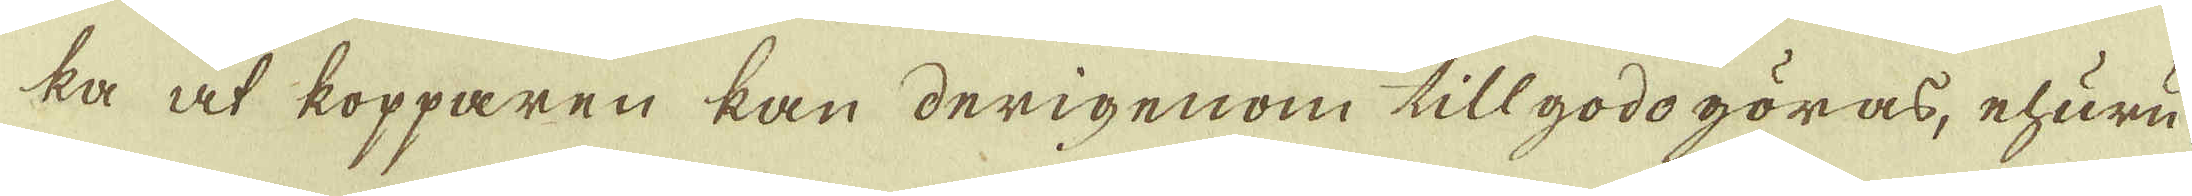ka at kopparen kan derigenom tillgodogöras, ehuru-
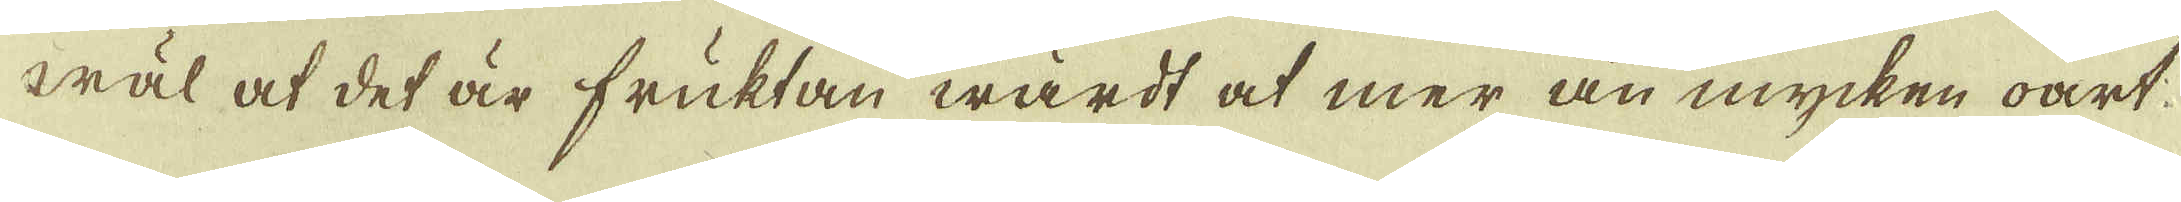wäl at det är fruktan wärdt at mer än mycken oart
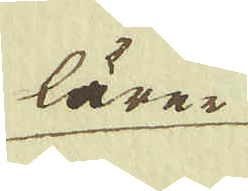lärer
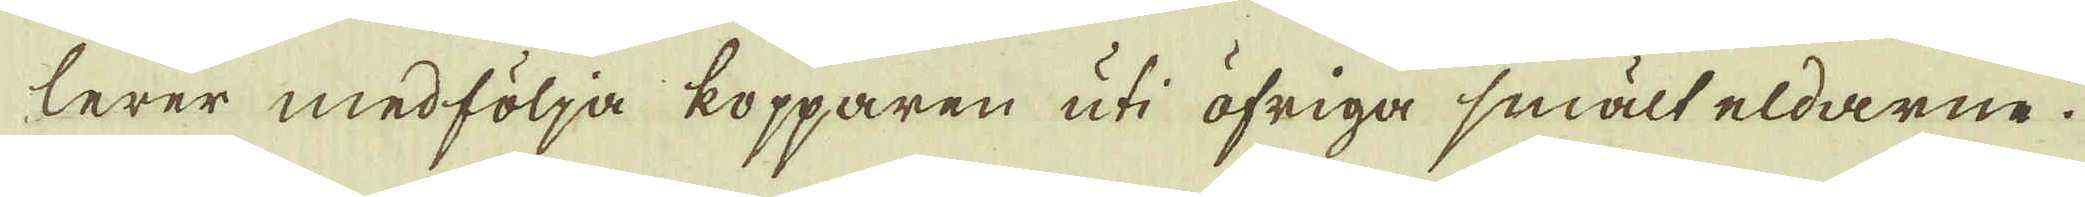lerer medfölja kopparen uti öfriga smält eldarne.
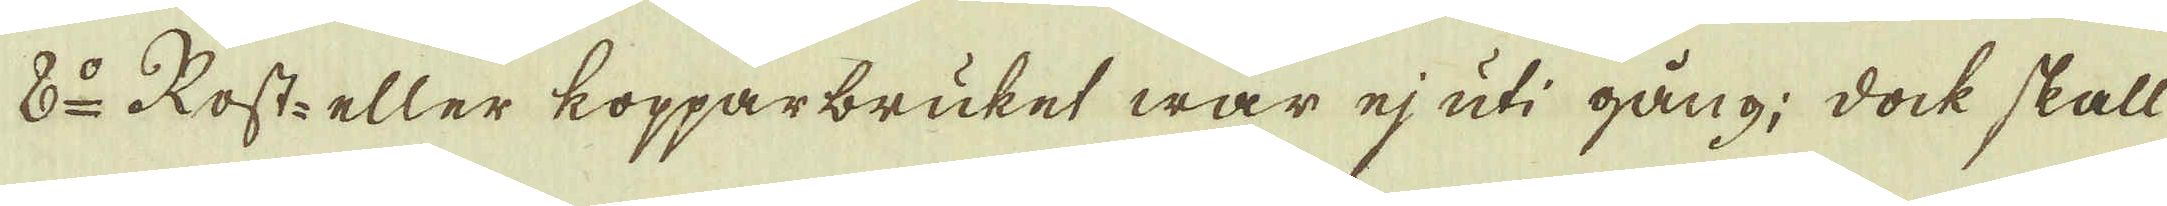8:o Rost- eller kopparbruket war ej uti gång; dock skall
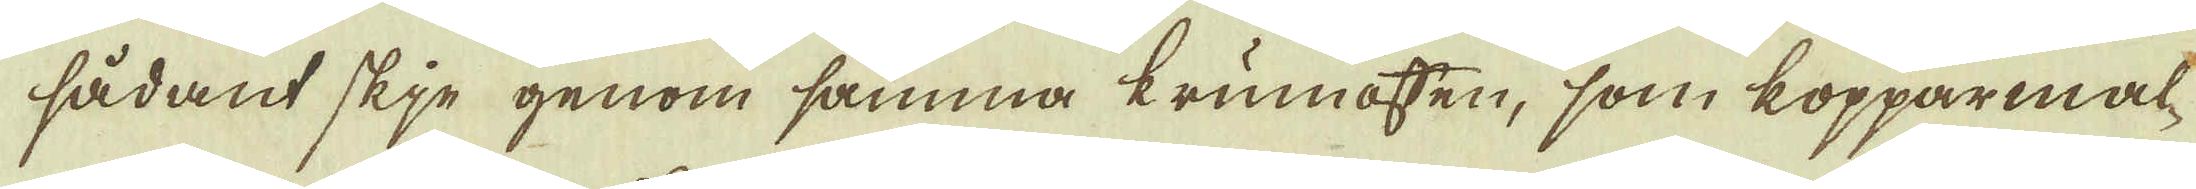sådant skje genom samma krumoffen, som kopparemal-
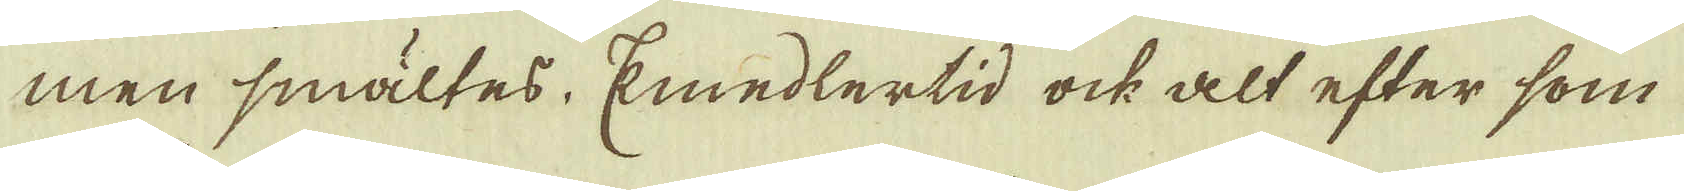men smältes. Emedlertid ock alt efter som
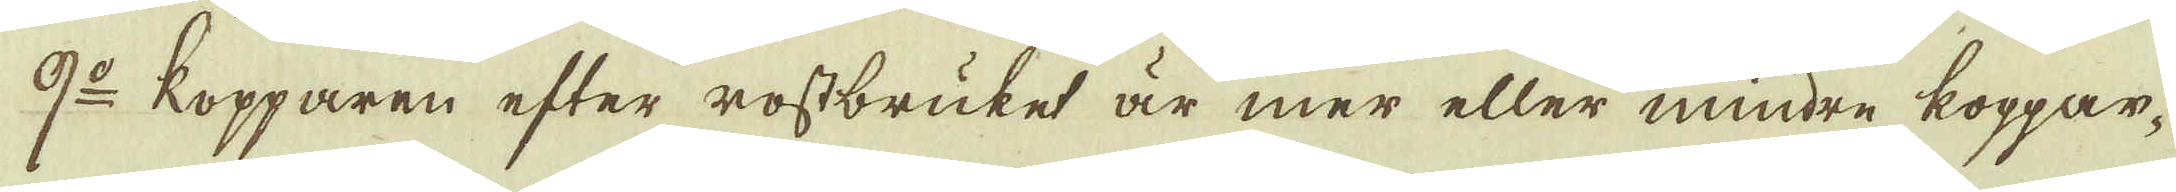9:o Kopparen efter rostbruket är mer eller mindre koppar-
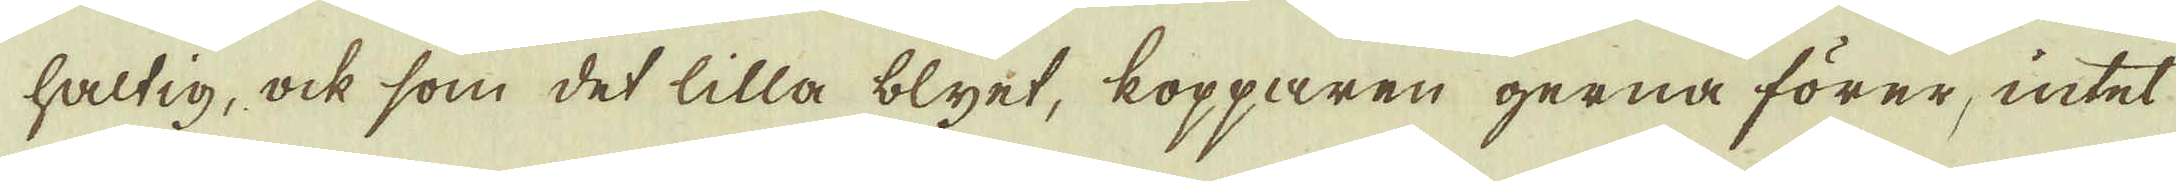haltig, ock som det lilla blyet, kopparen gerna förer, intet
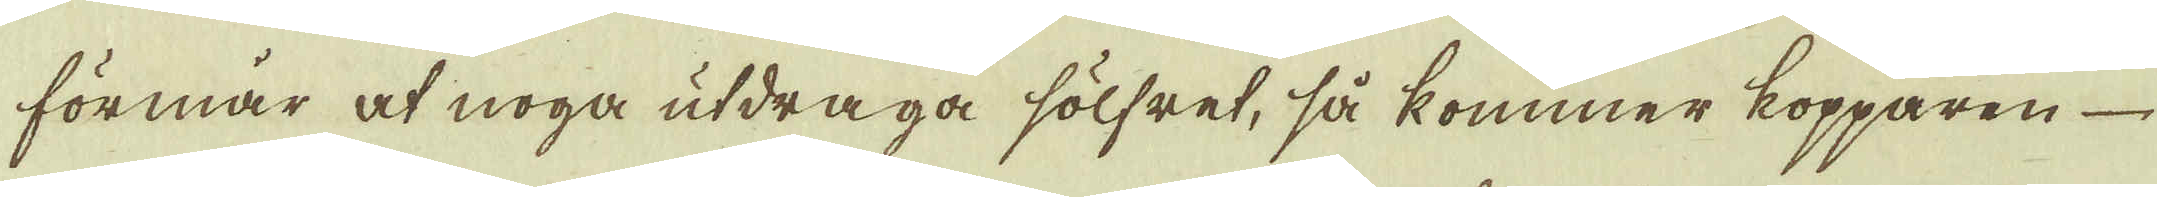förmår af noga utdraga sölfret, så kommer kopparen
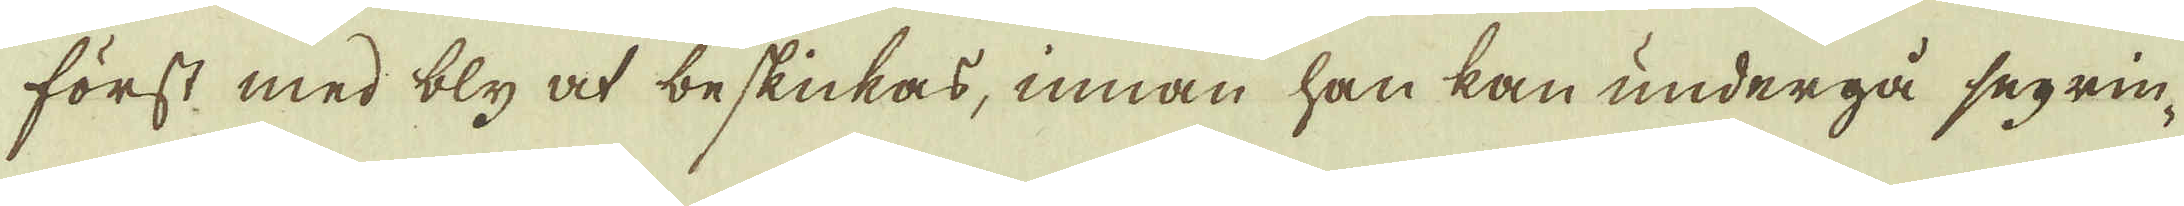först med bly at beskickas, innan han kan undergå segrin-
